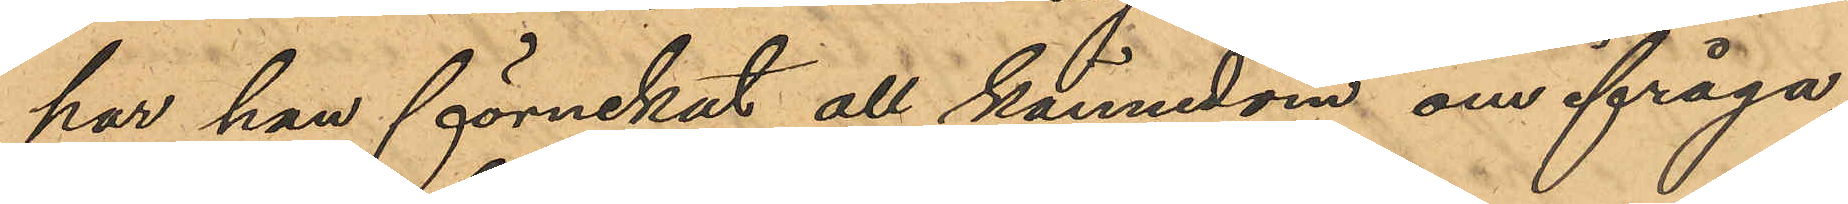har han förnekat all kännedom om ifråga¬
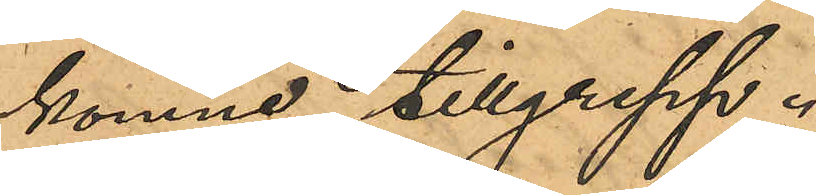komne tillgrepp.
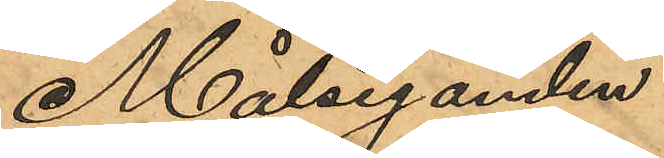Målseganden
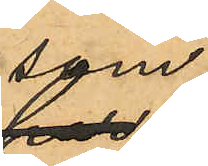som
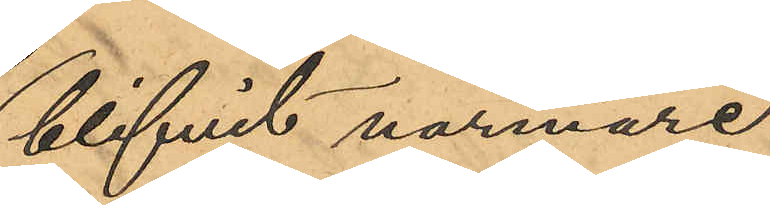blifvit närmare
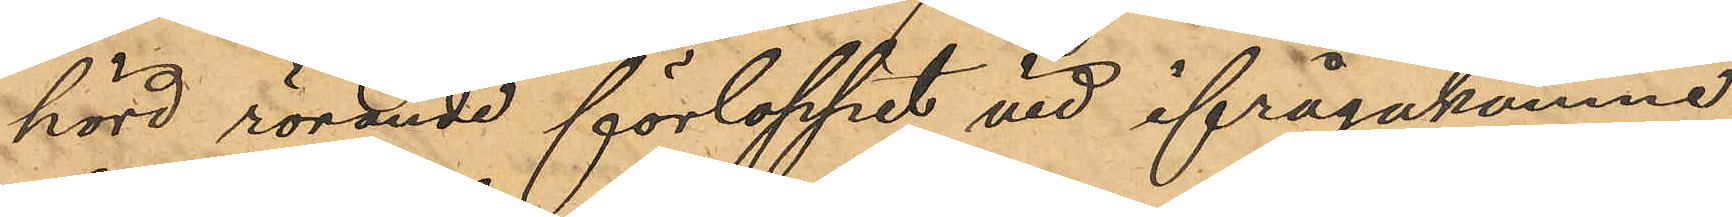hörd rörande förloppet vid ifrågakomne
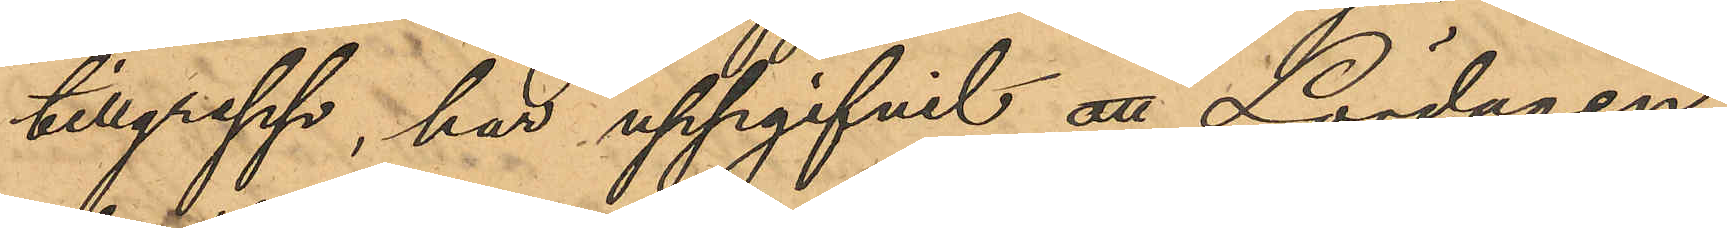tillgrepp, har uppgifvit att Lördagen
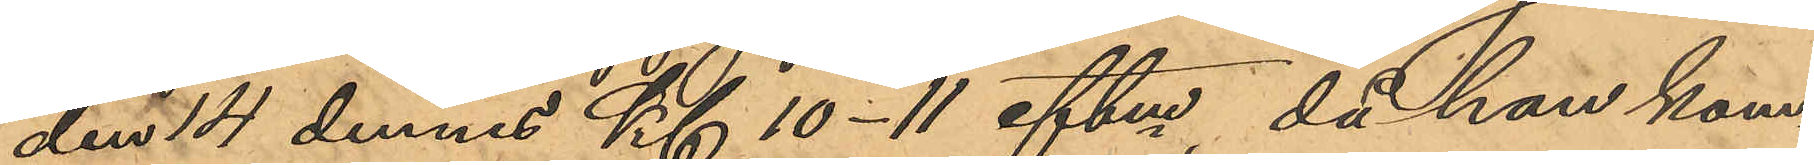den 14 dennes Kl 10-11 eftm, då han kom¬
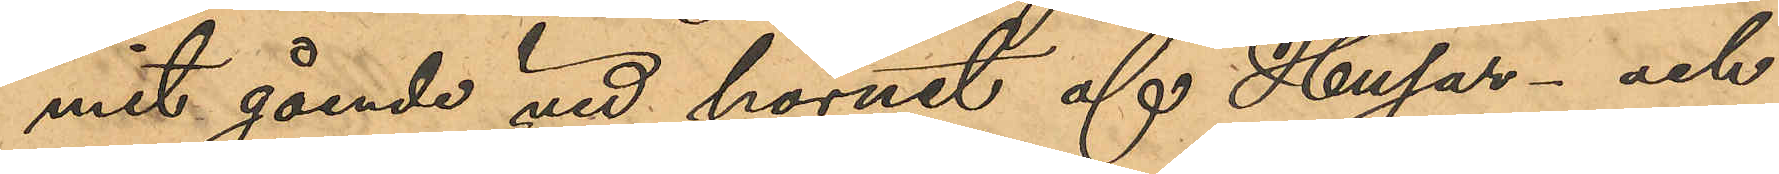mit gående vid hörnet af Husar- och
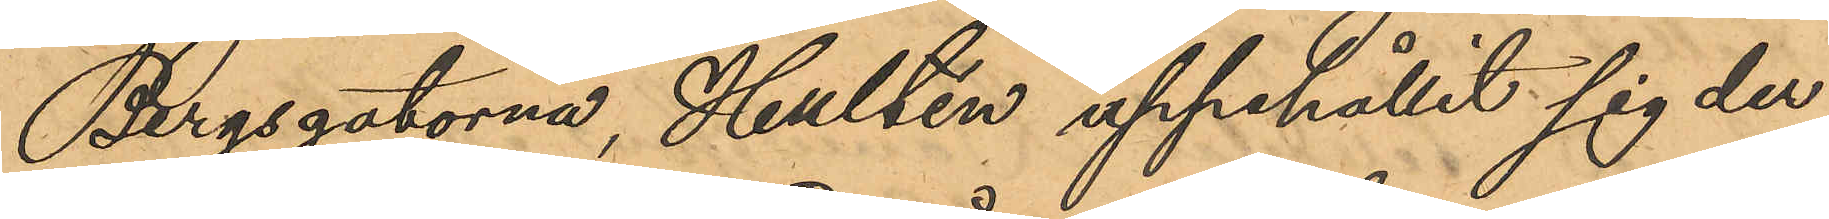Bergsgatorna, Hultén uppehållit sig der
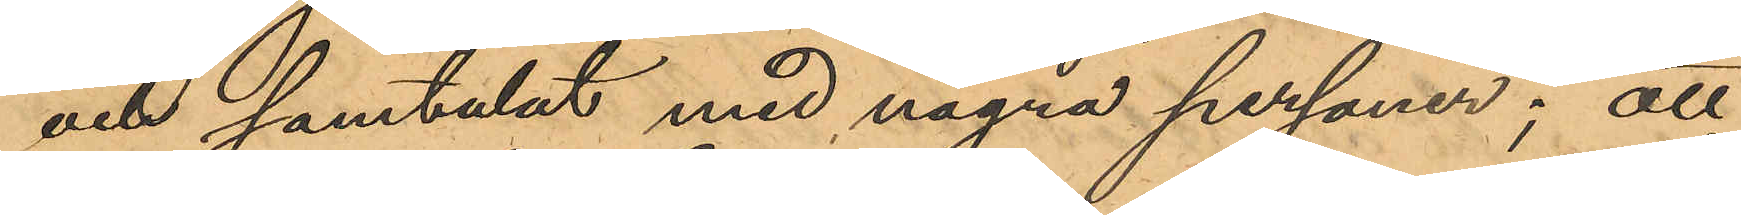och samtalat med några personer; att
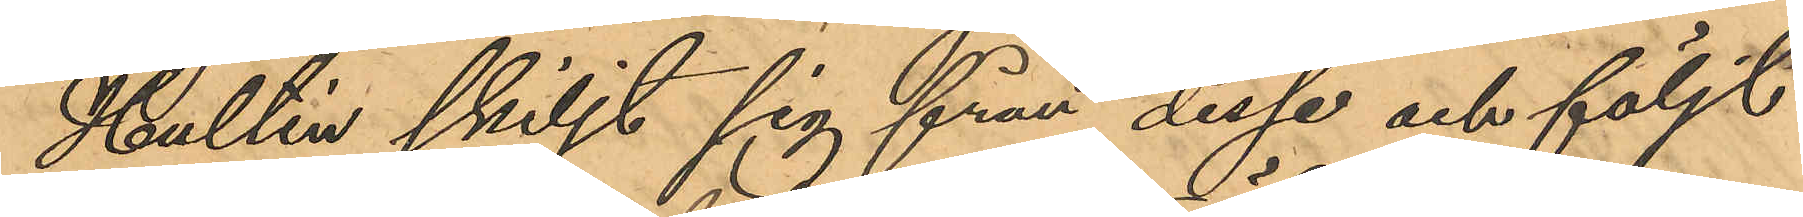Hultén skiljt sig från dessa och följt
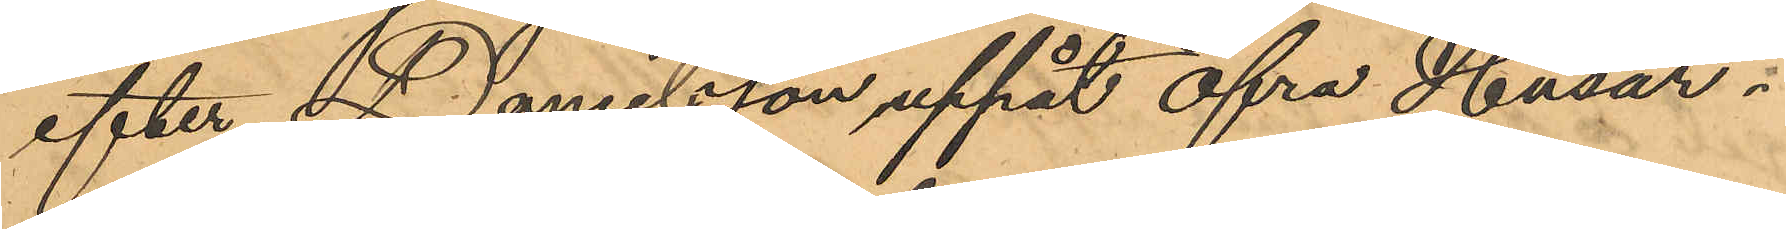efter Danielsson uppåt Öfra Husar¬
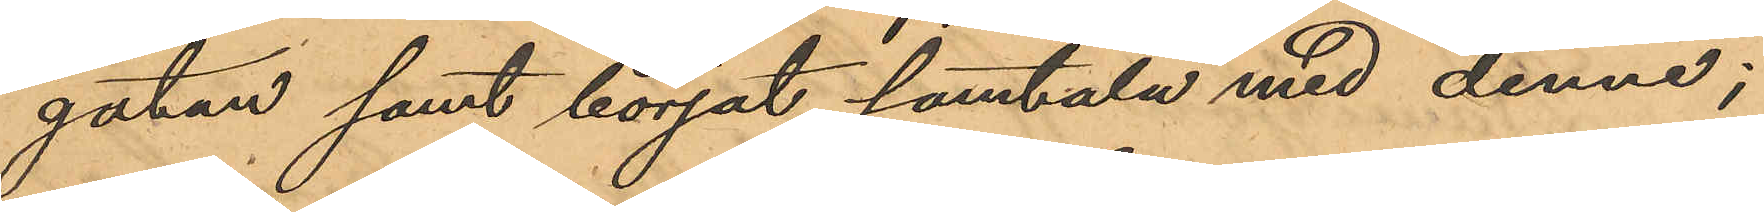gatan samt börjat samtala med denne;
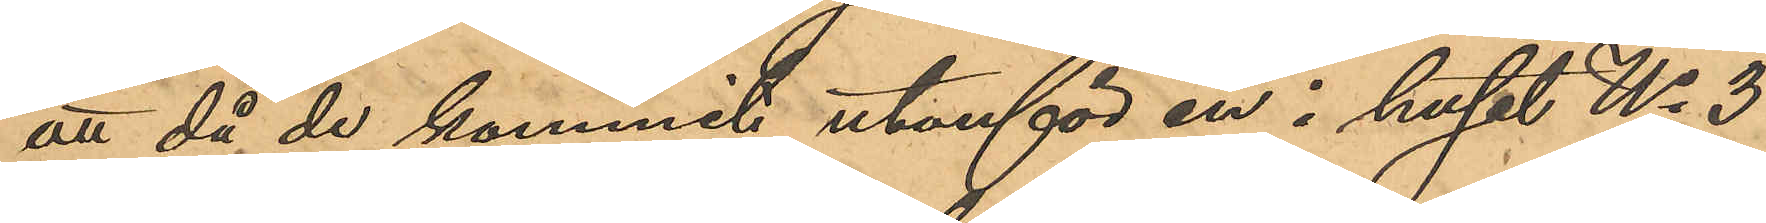att då de kommit utanför en i huset No 3
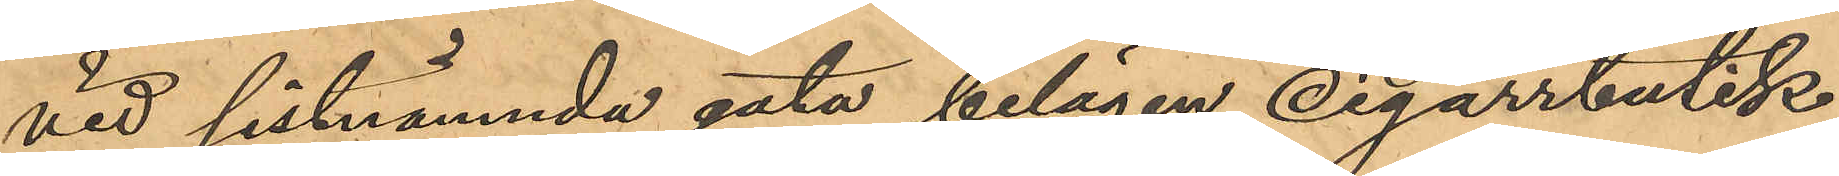vid sistnämnda gata belägen cigarrbutik,
